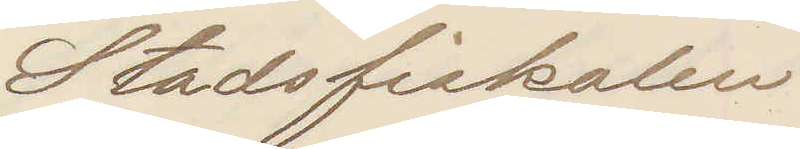Stadsfiskalen
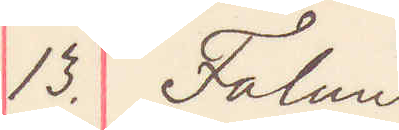13. Falun
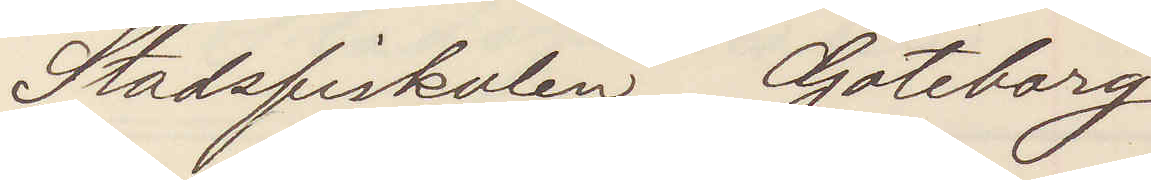Stafsfiskalen Göteborg
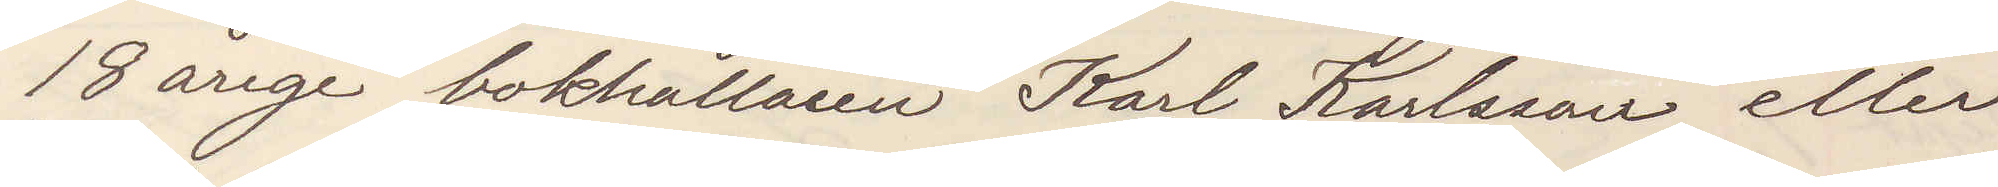18 årige bokhållaren Karl Karlsson eller
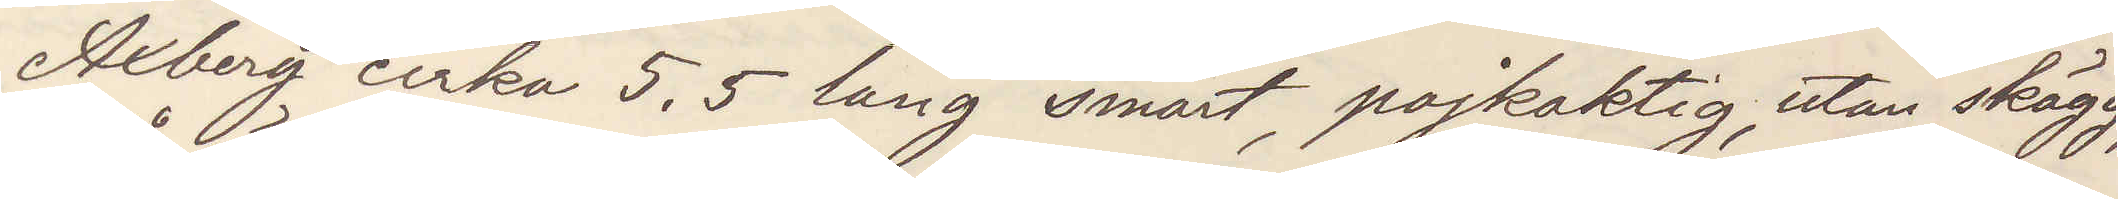Axberg cirka 5,5 lång smärt, pojkaktig, utan skägg,
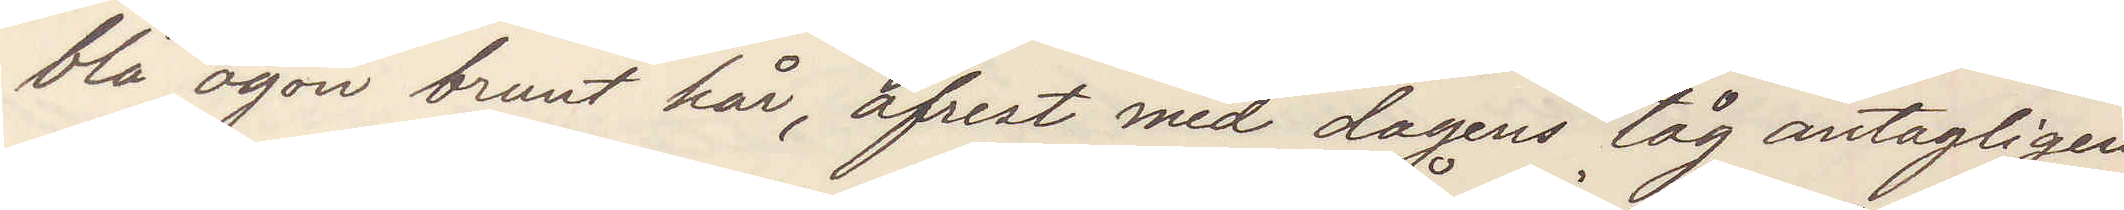blå ögon brunt hår, afrest med dagens tåg antagligen
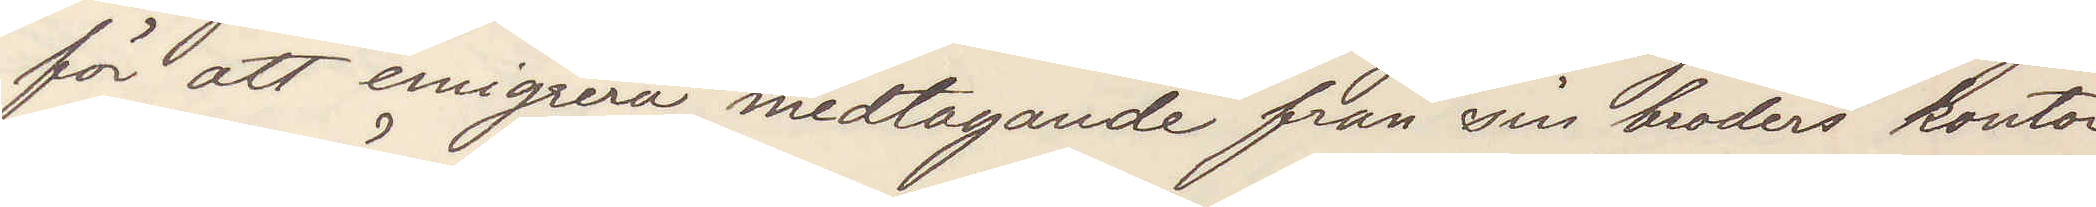för att emigrera medtagande från sin broders kontor
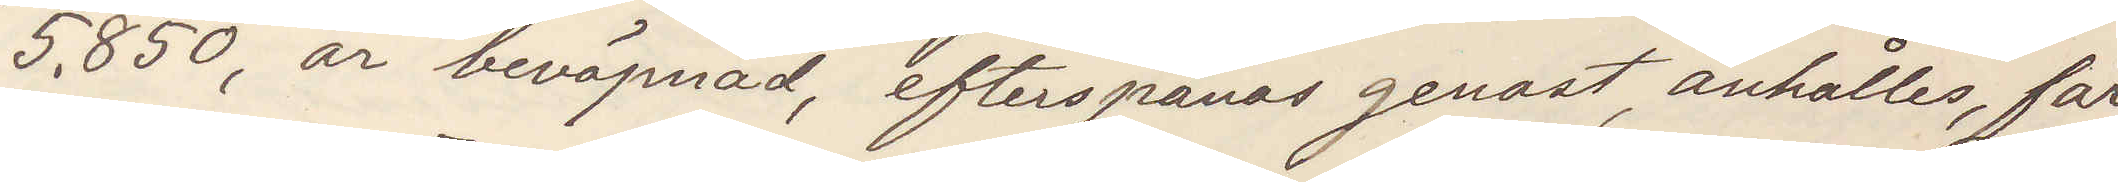5.850, är beväpnad, efterspanas genast, anhålles, får
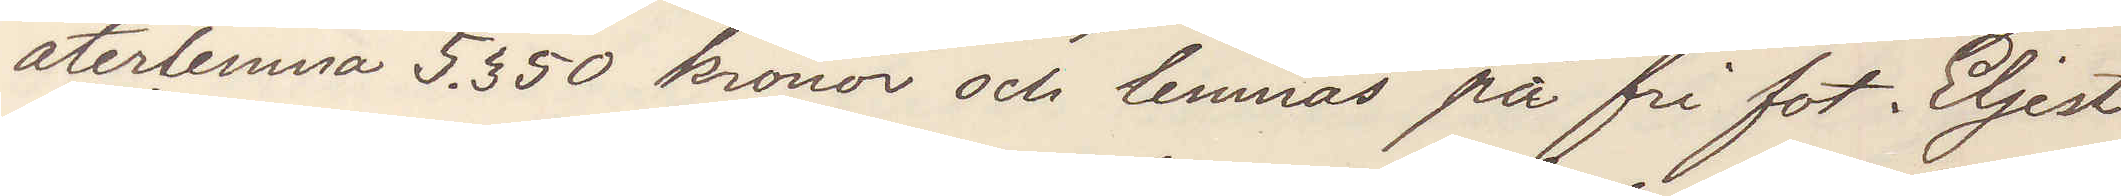återlemna 5.350 kronor och lemnas på fri fot. Eljest
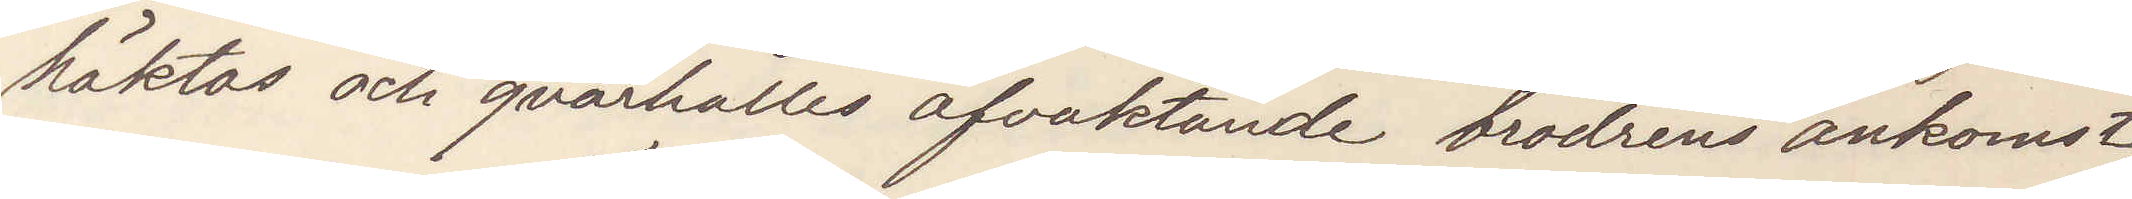häktas och qvarhålles afvaktande brodrens ankomst;
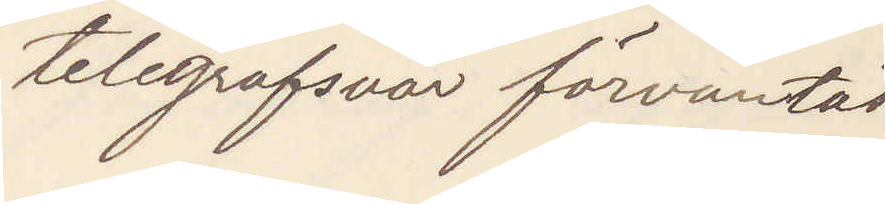telegrafsvar förväntas
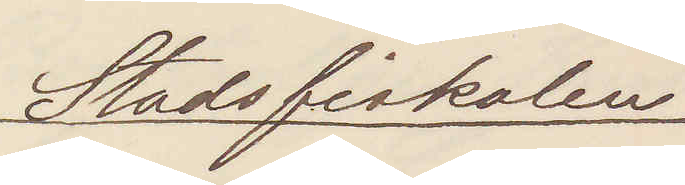Stadsfiskalen
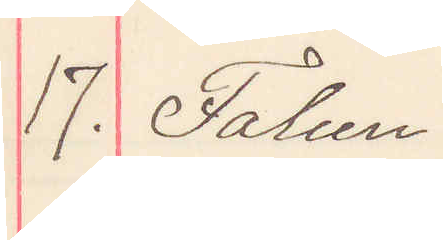17. Falun.
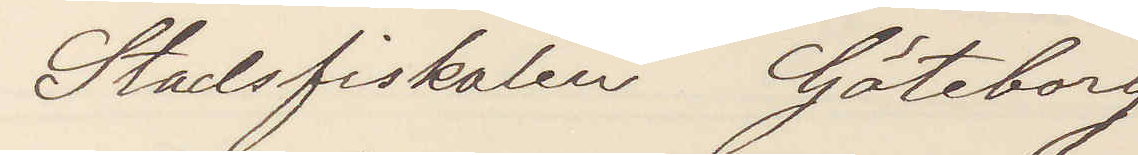Stadsfiskalen Göteborg
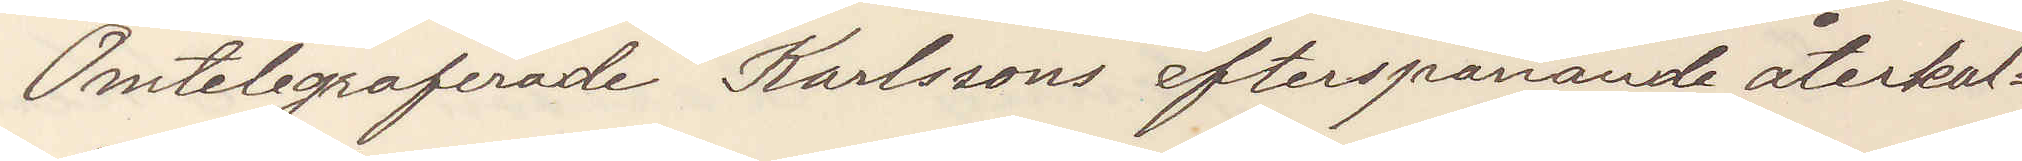Omtelegraferade Karlssons efterspanande återkal¬
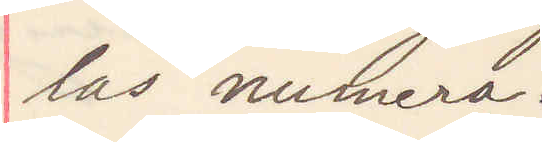las numera.
